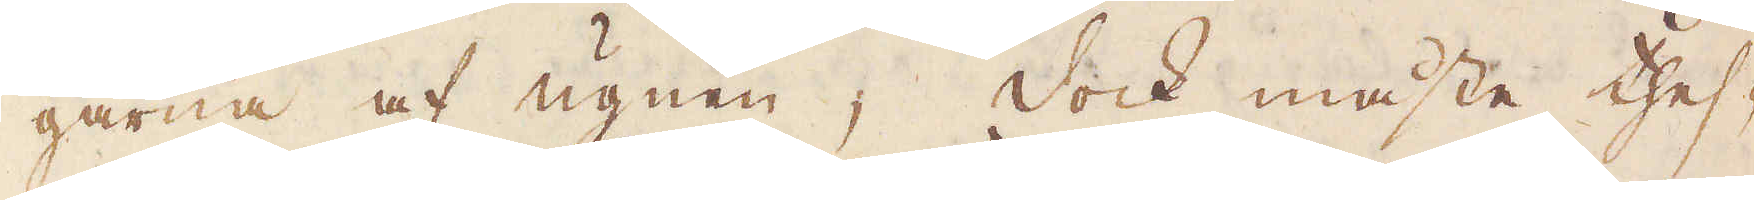garna af ugnen; dock måste thes-
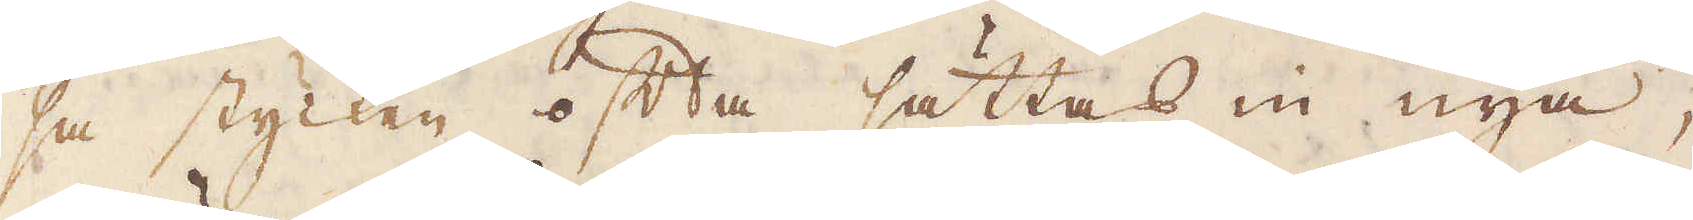sa stycken ofta sättas in nya,
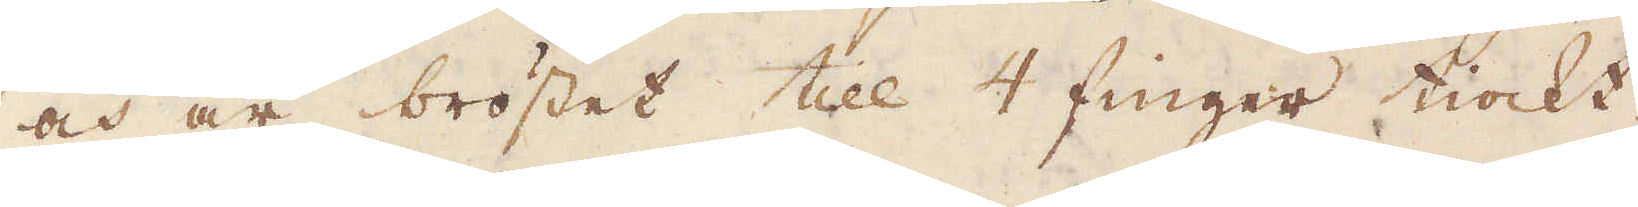och är bröstet till 4 finger tiockt.
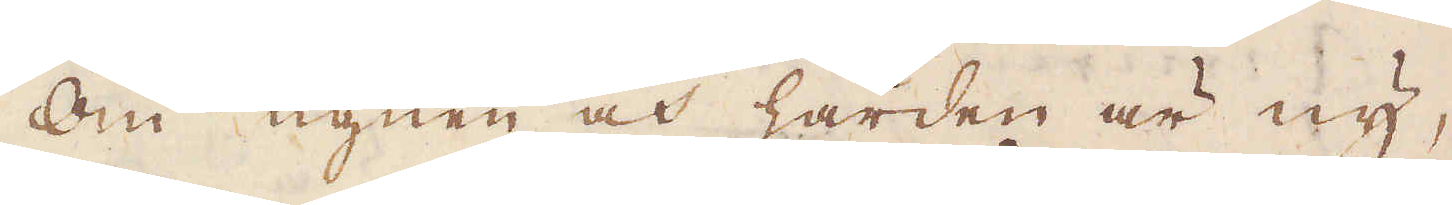Om ugnen och härden är ny,
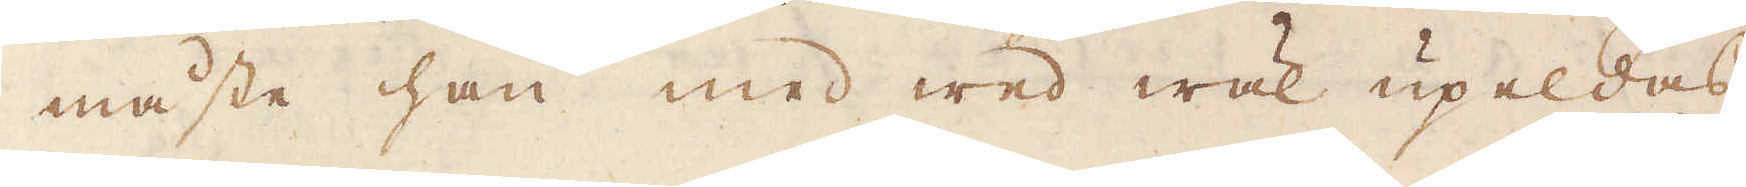måste han med wed wäl upeldas
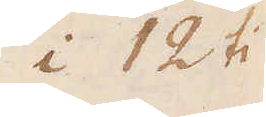i 12 ti.
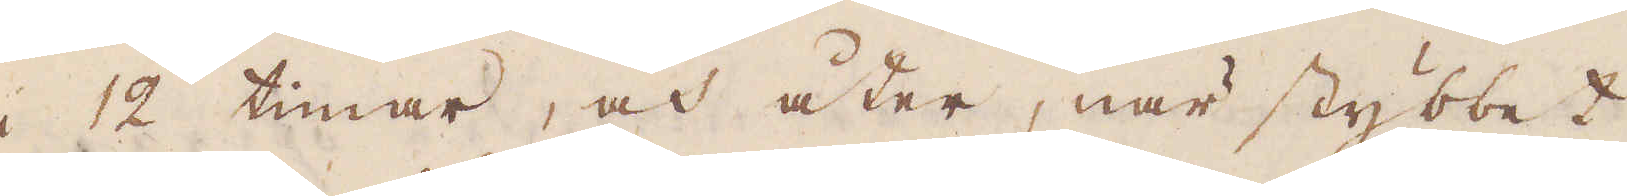i 12 timar, och åter, när stybbet
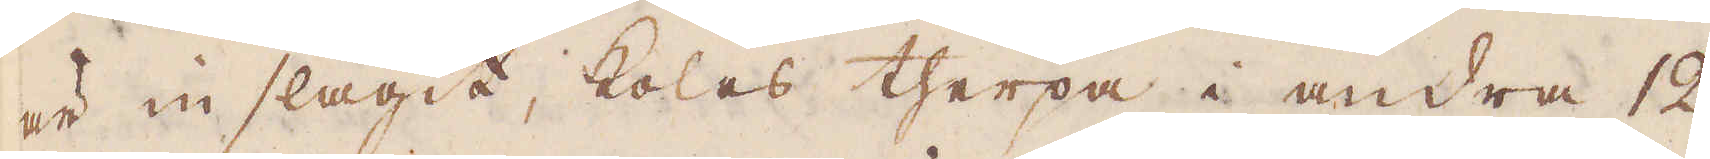är in slagit, kolas therpå i andra 12
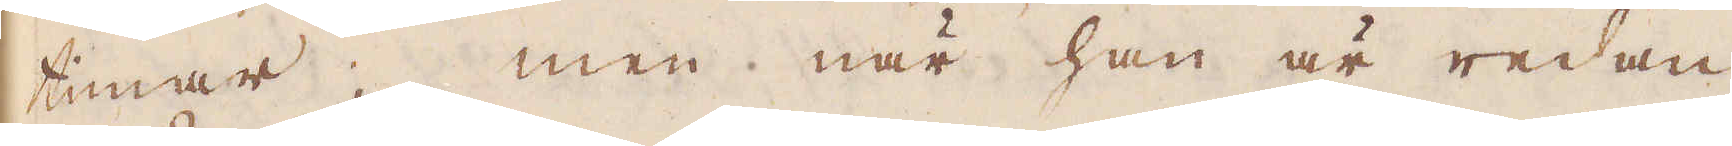timar; men när han är redan
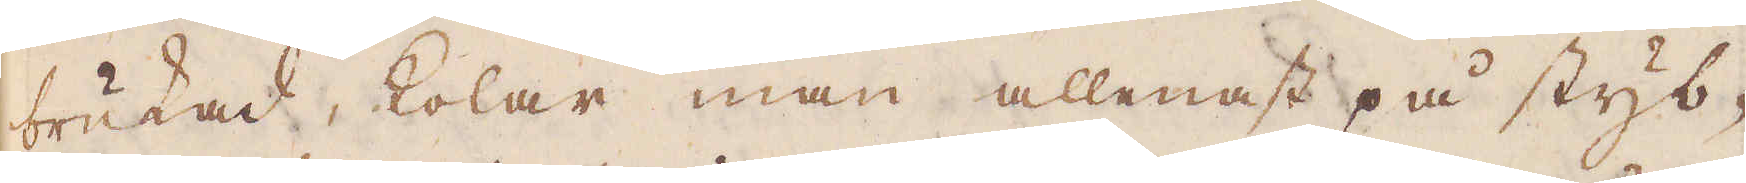brukad, kolar man allenast på styb-
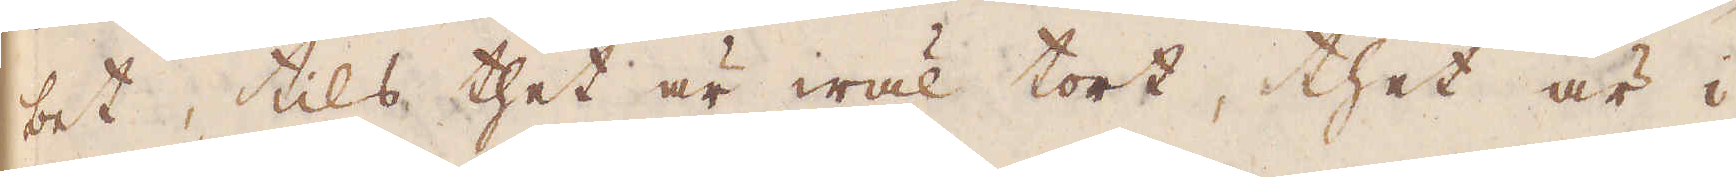bet, tils thet är wäl tort, thet är i
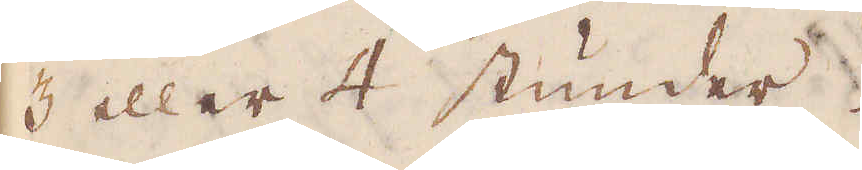3 eller 4 stunder.
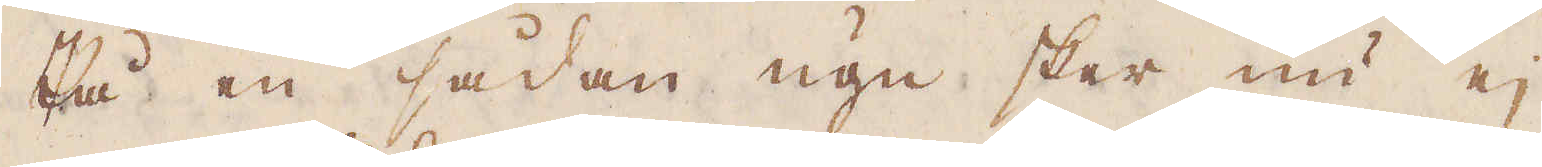På en sådan ugn sker nu ej
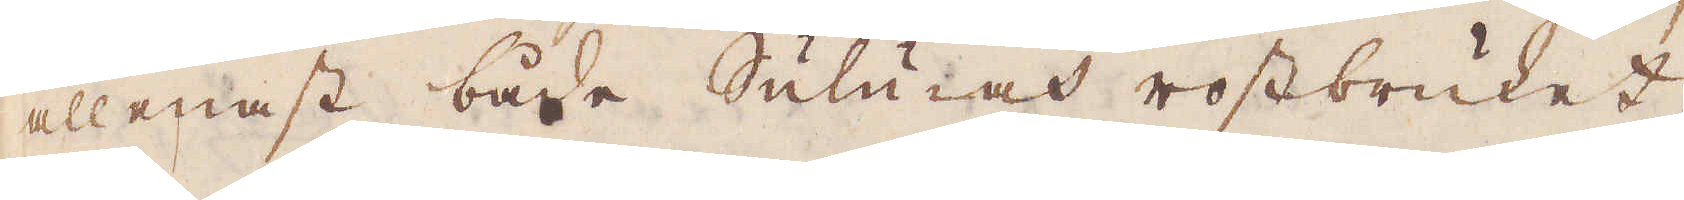allenast både Sulu iat rostbruket,
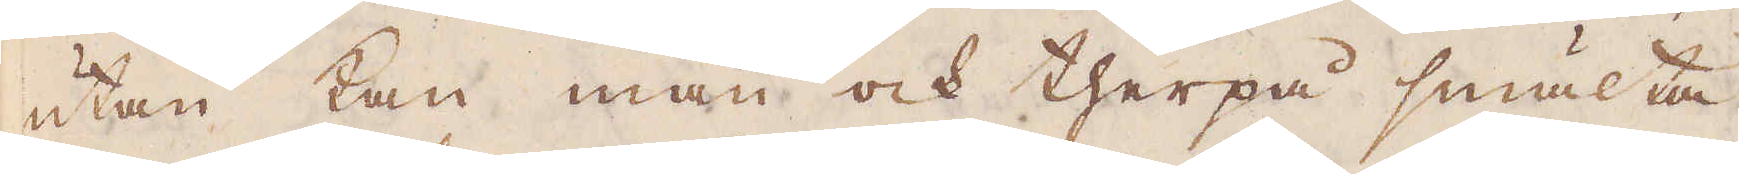utan kan man ock therpå smälta
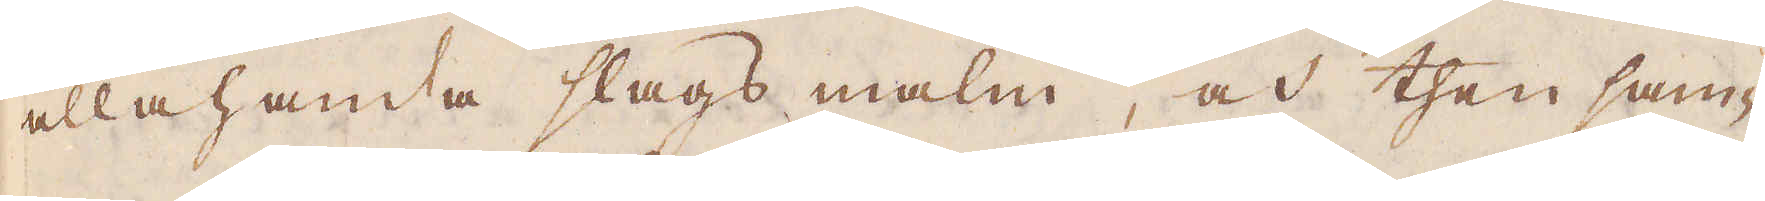allahanda slags malm, och then sam-
